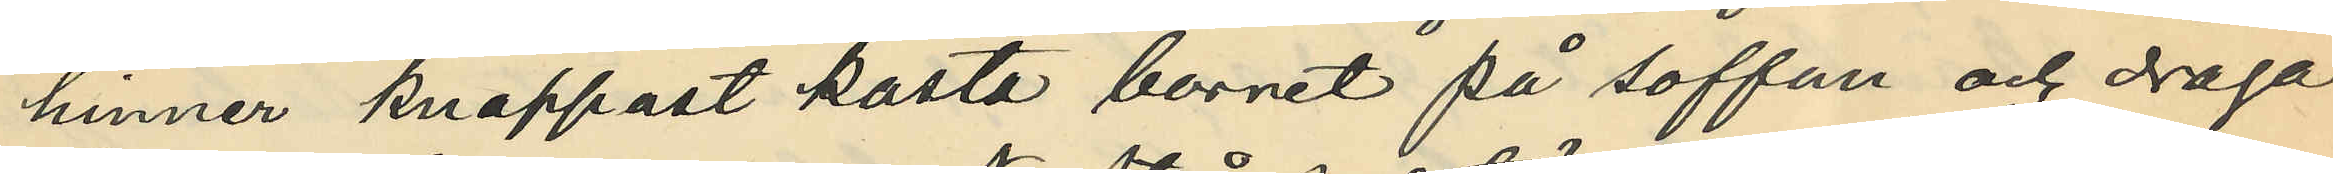hinner knappast kasta borret på soffan och draga
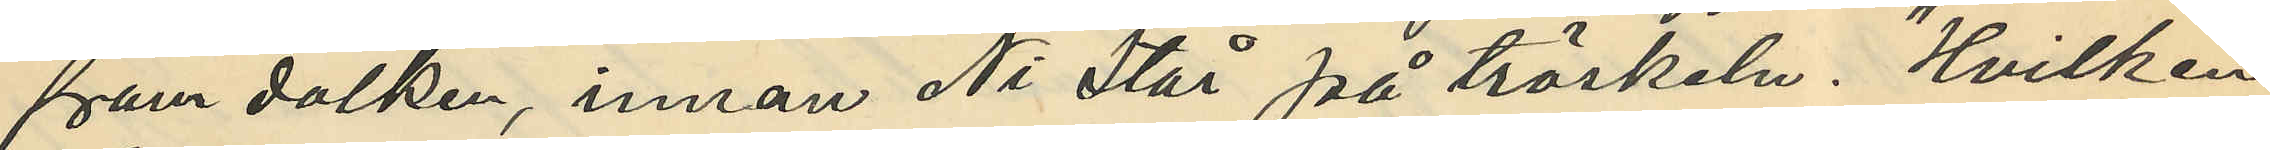fram dolken, innan Ni står på tröskeln. "Hvilken
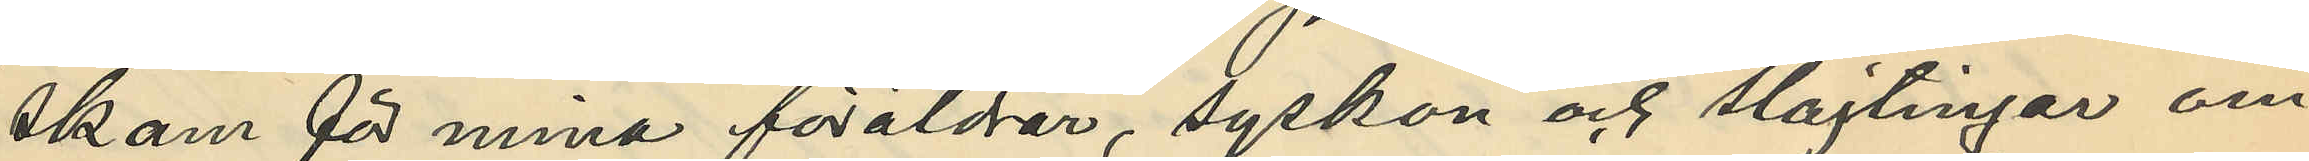skam för mina föräldrar, syskon och slagtingar om
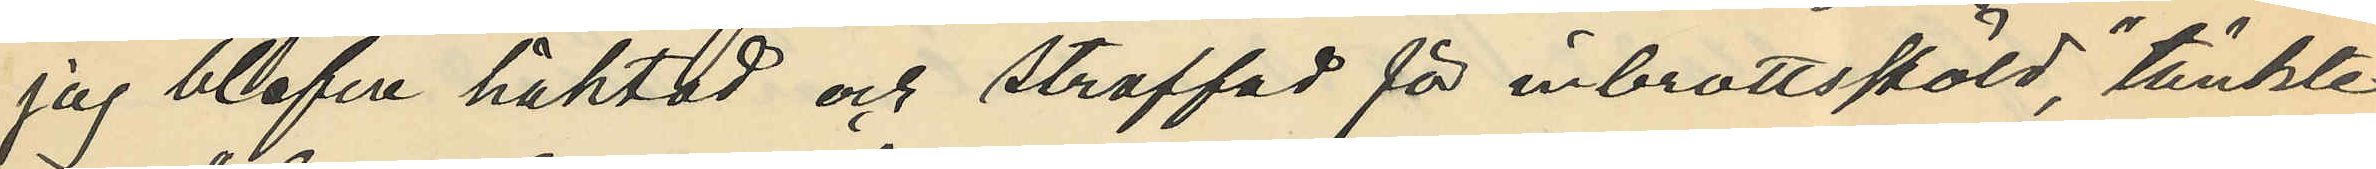jag blefve häktad och straffad för inbrottsstöld", tänkte
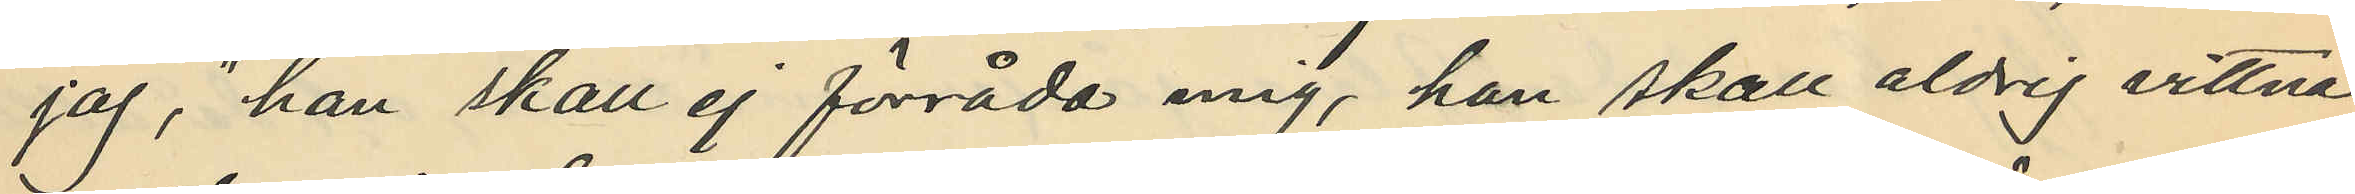jag, "han skall ej förråda mig, han skall aldrig vittna
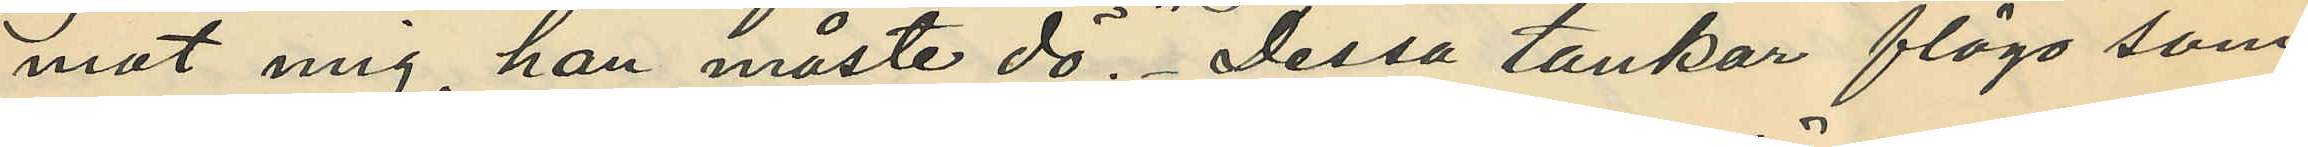mot mig, han måste dö." Dessa tankar flögo som
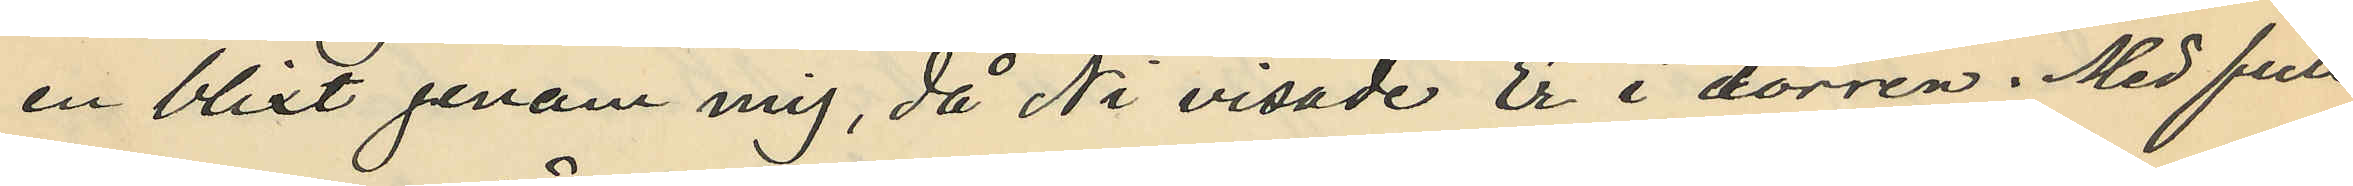en blixt genom mig, då Ni visade Er i dörren. Med full
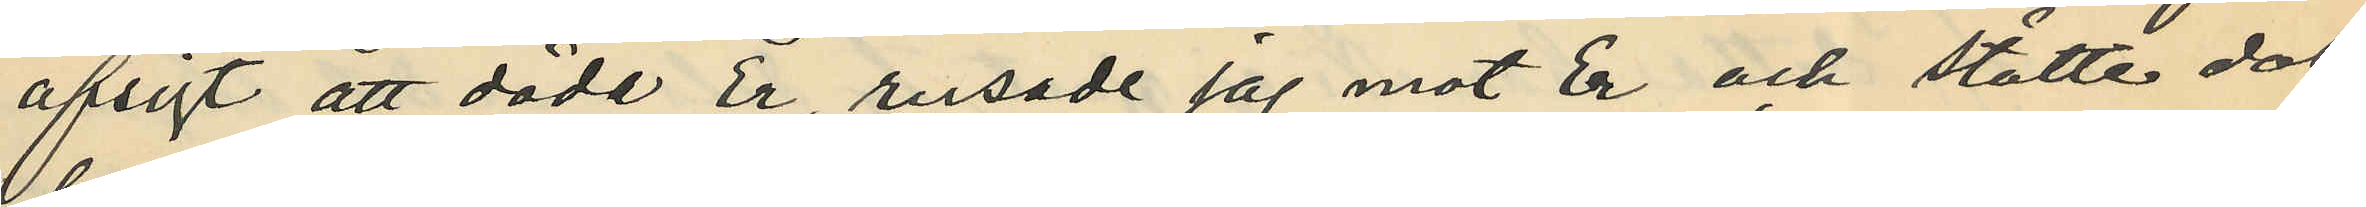afsigt att döda Er, rusade jag mot Er och stötte dol¬
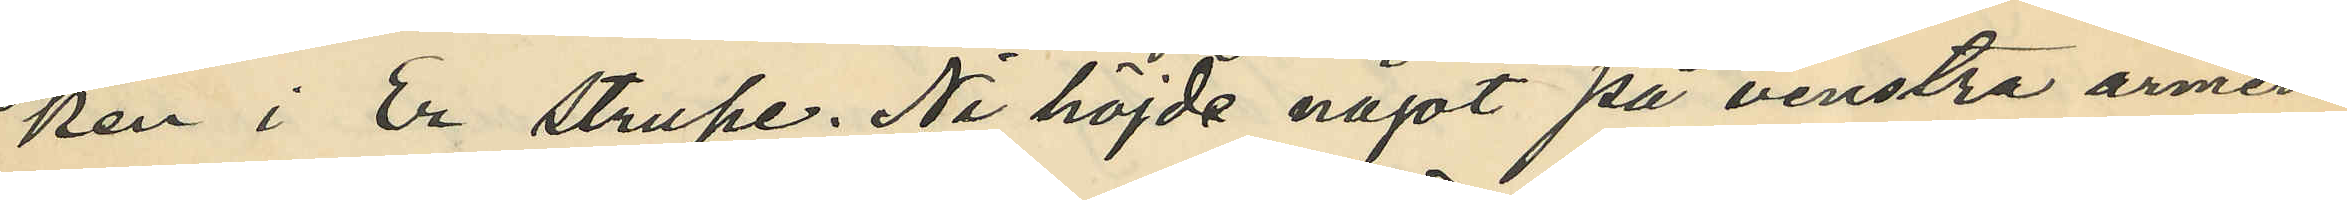ken i Er strupe. Ni höjde något på venstra armen
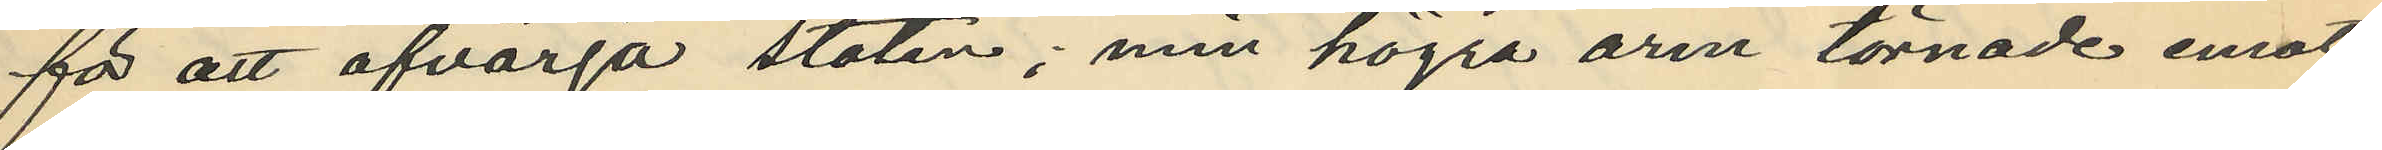för att afvärja stöten; min högra arm törnade emot
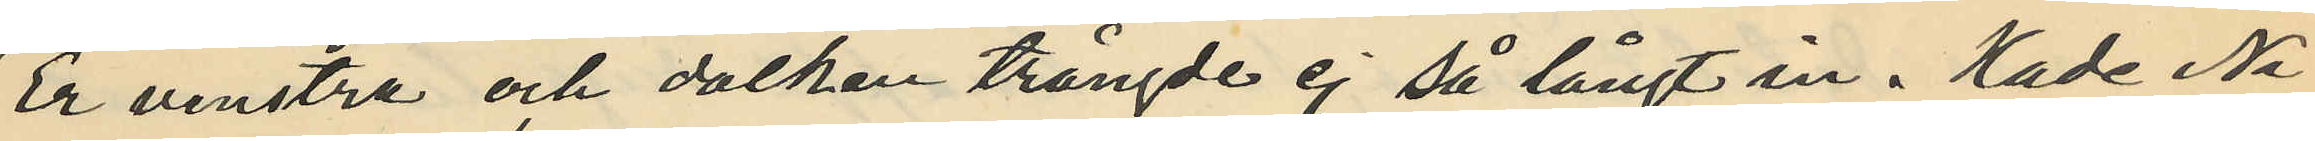Er venstra och dolken trängde ej så långt in. Hade Ni
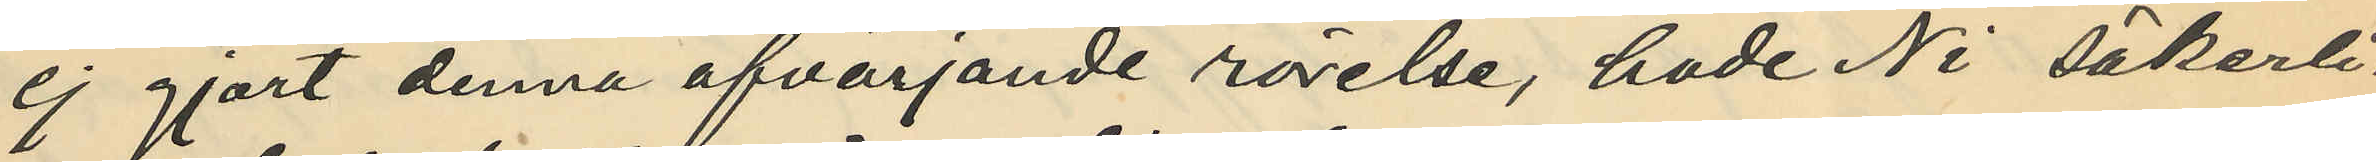ej gjort denna afvärjande rörelse, hade Ni säkerli¬
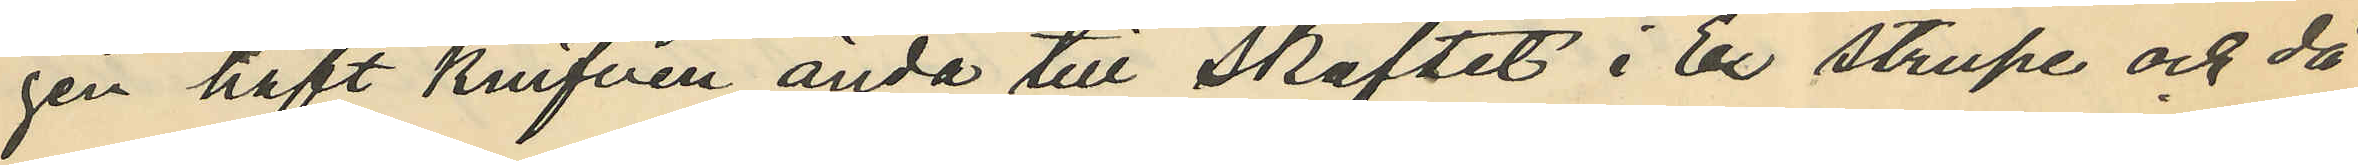gen haft knifven ända till skaftet i Er strupe och då
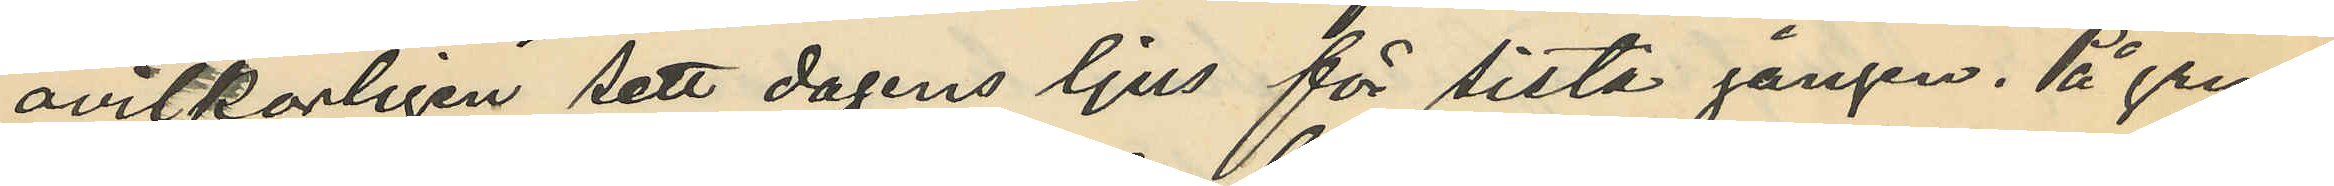ovilkorligen sett dagens ljus för sista gången. På grund
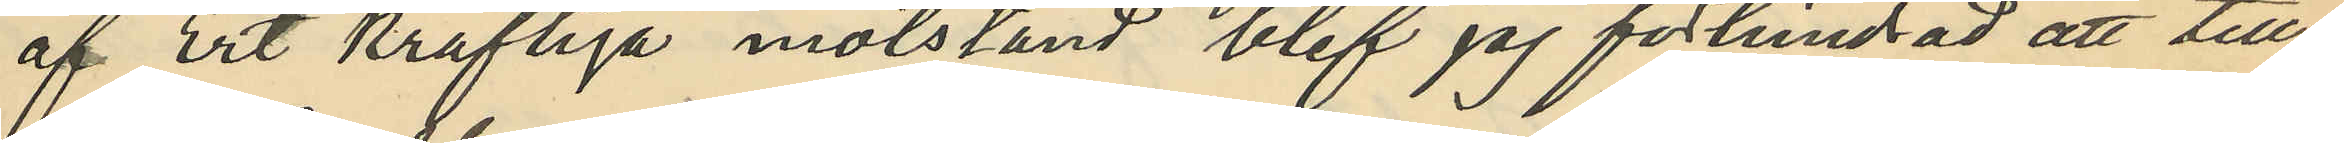af Ert kraftiga motstånd, blef jaj förhindrad att till¬
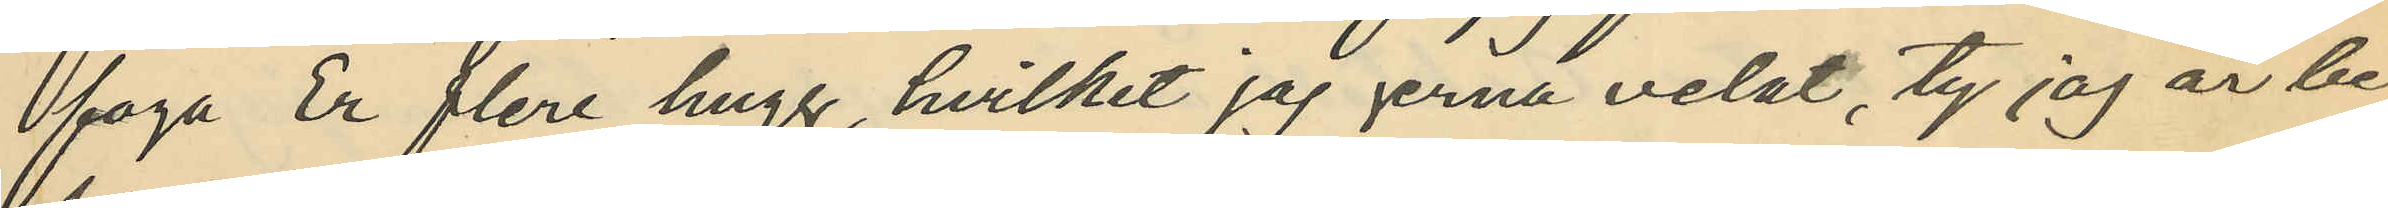foga Er flere hugg, hvilket jag gerna velat, ty jag är be¬
